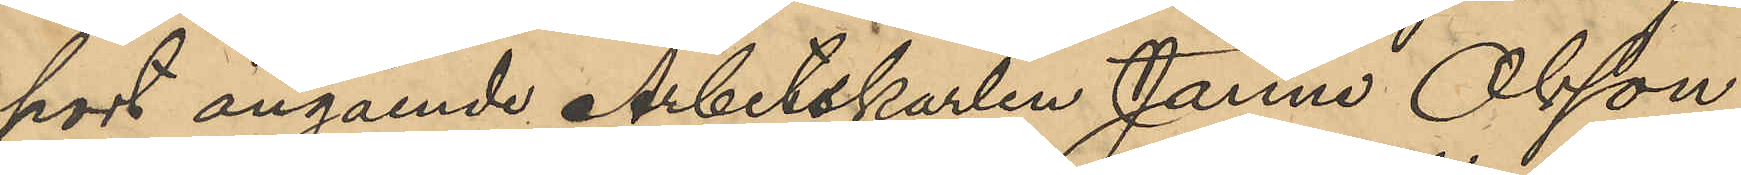port angående Arbetskarlen Janne Olsson,
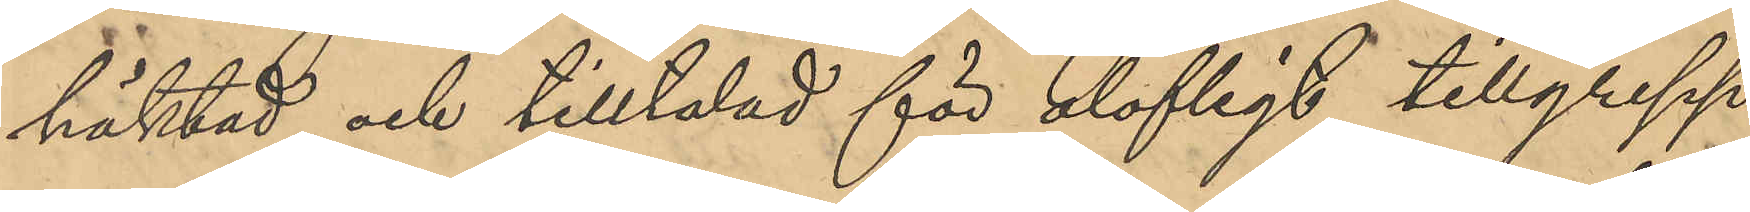häktad och tilltalad för olofligt tillgrepp
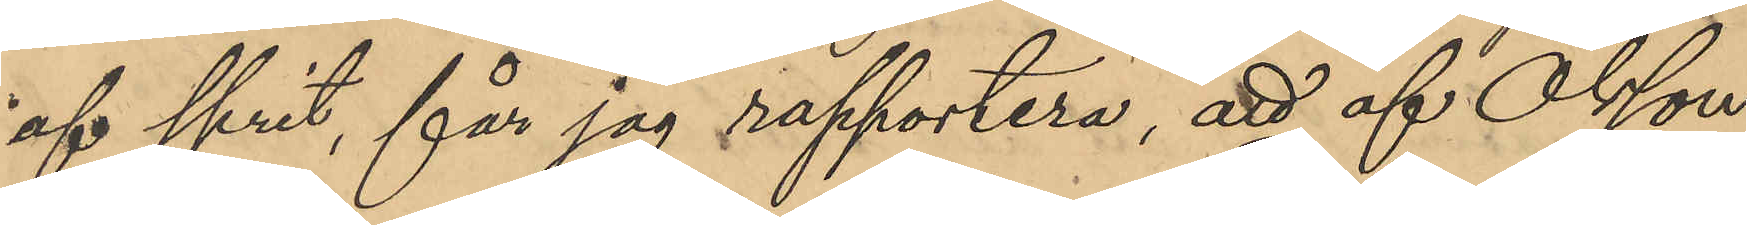af sprit, får jag rapportera, att af Olsson
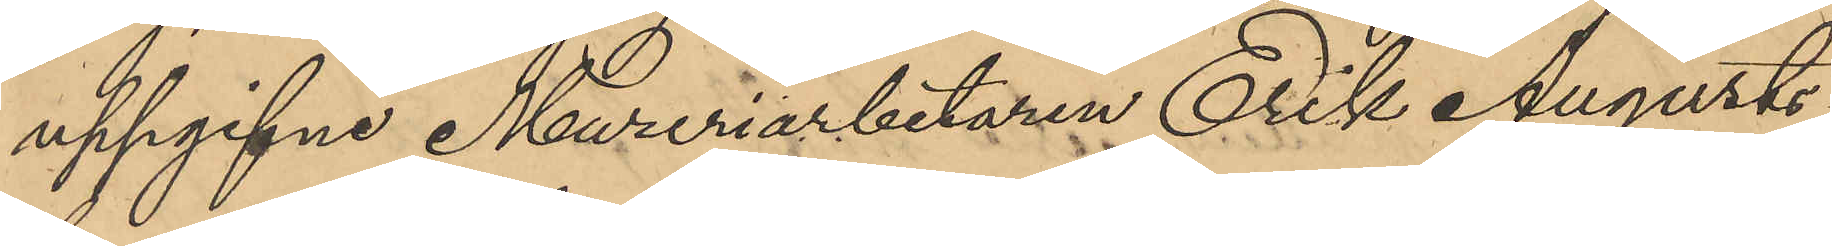uppgifne Mureriarbetaren Erik Augusts¬
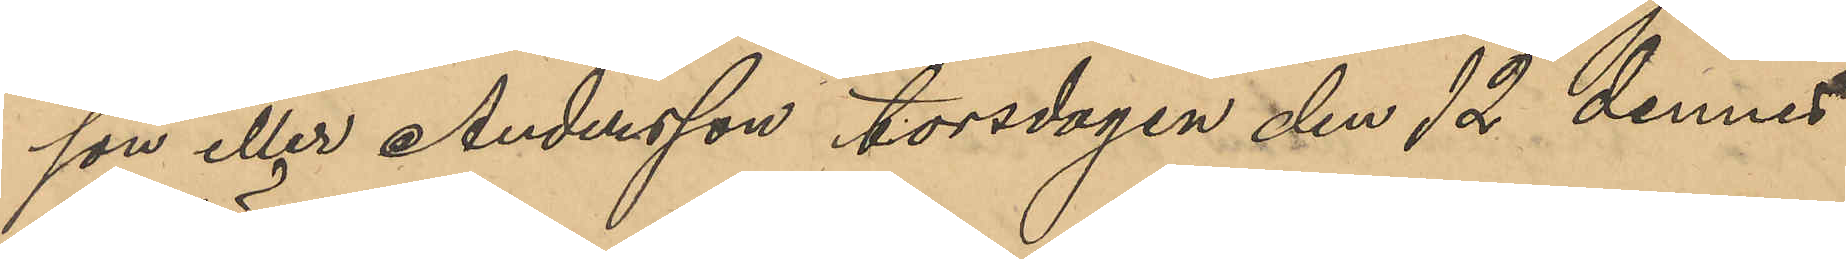son eller Andersson torsdagen den 12 dennes
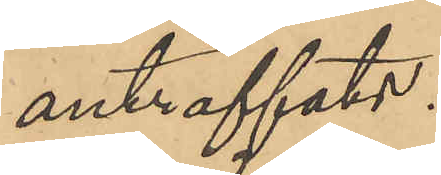anträffats.
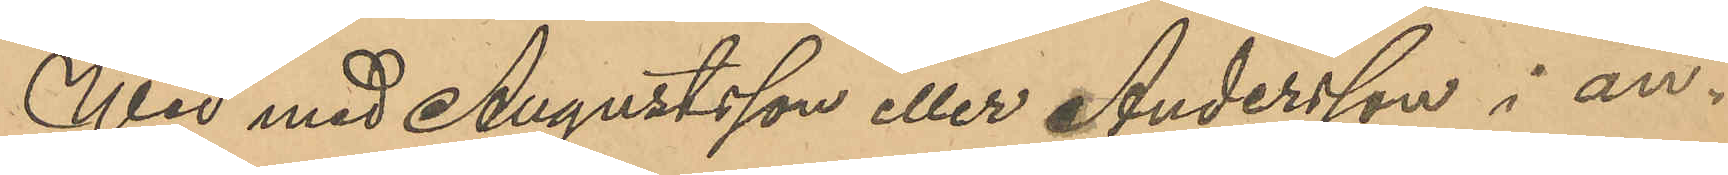Wid med Augustsson eller Andersson i an¬
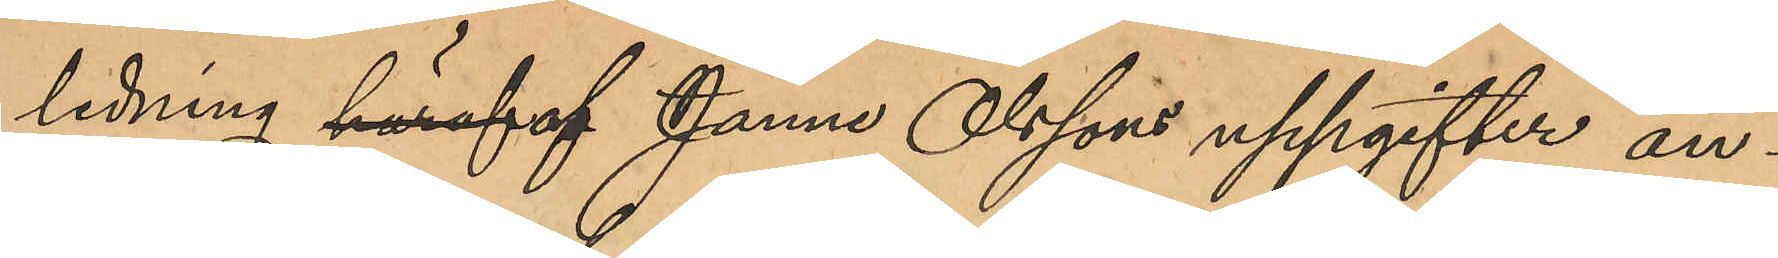ledning häraf af Janne Olssons uppgifter an¬
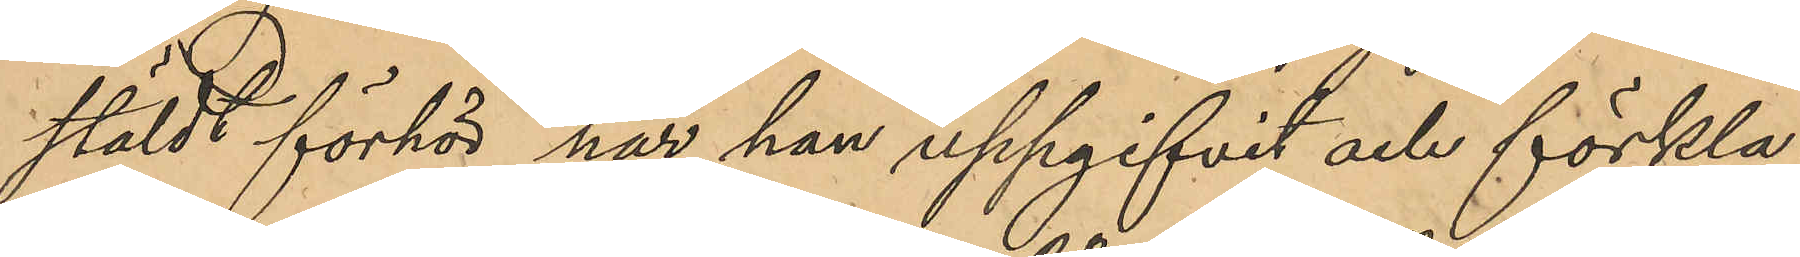stäldt förhör har han uppgifvit och förkla¬
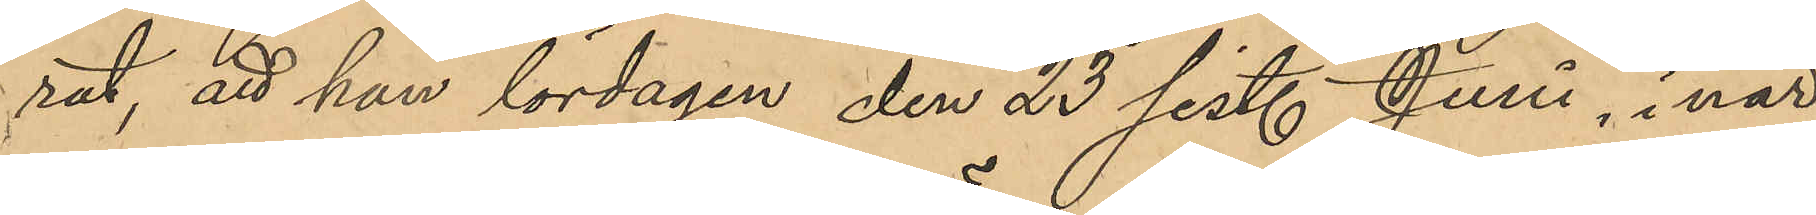rat, att han lördagen den 23 sist. Juni, i när¬
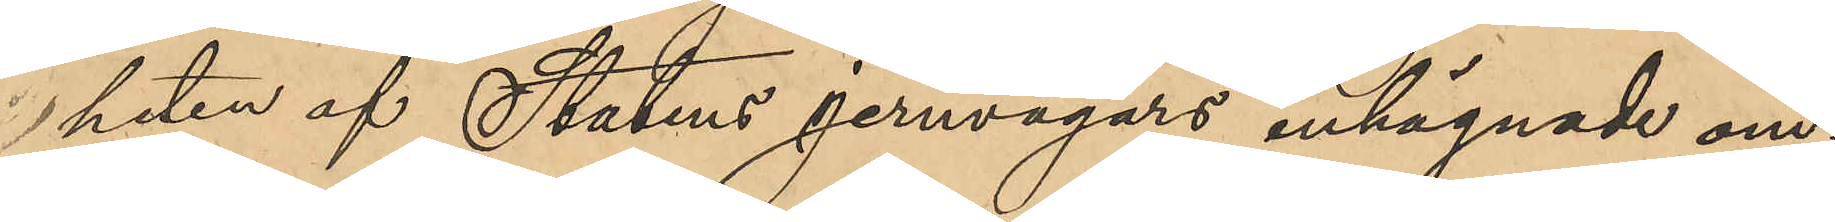heten af Statens jernvägars inhägnade om¬
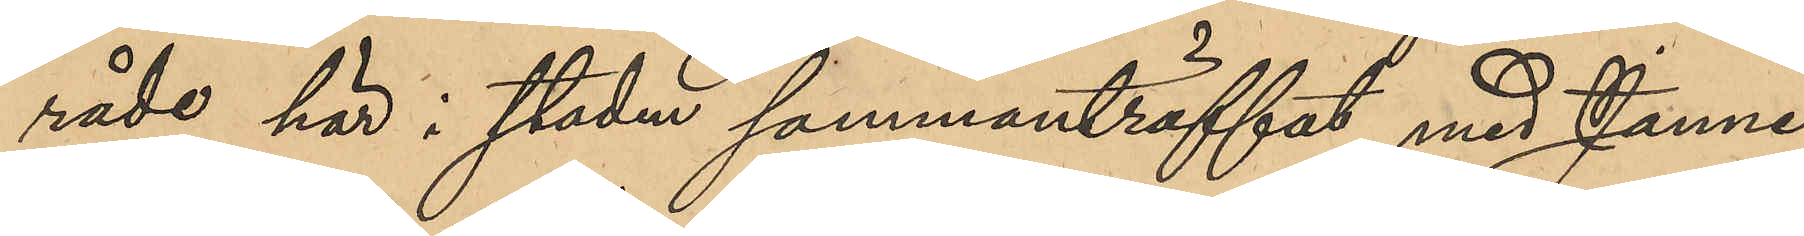råde här i staden sammanträffat med Janne
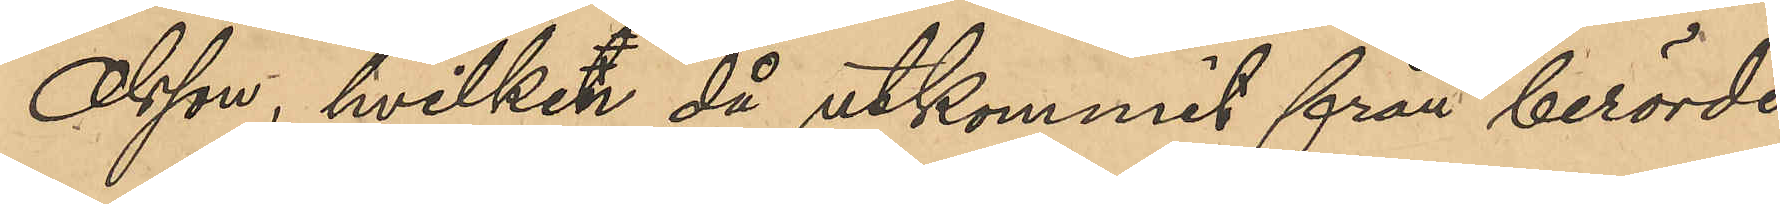Olsson, hvilken då utkommit från berörde
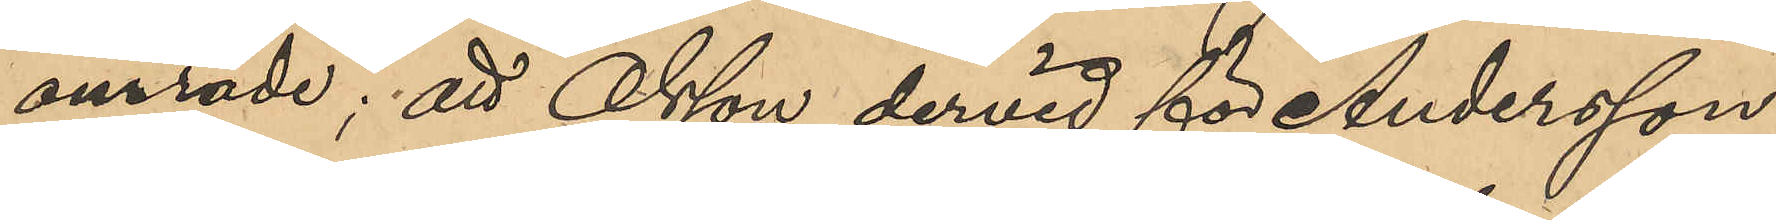område; att Olsson dervid för Andersson
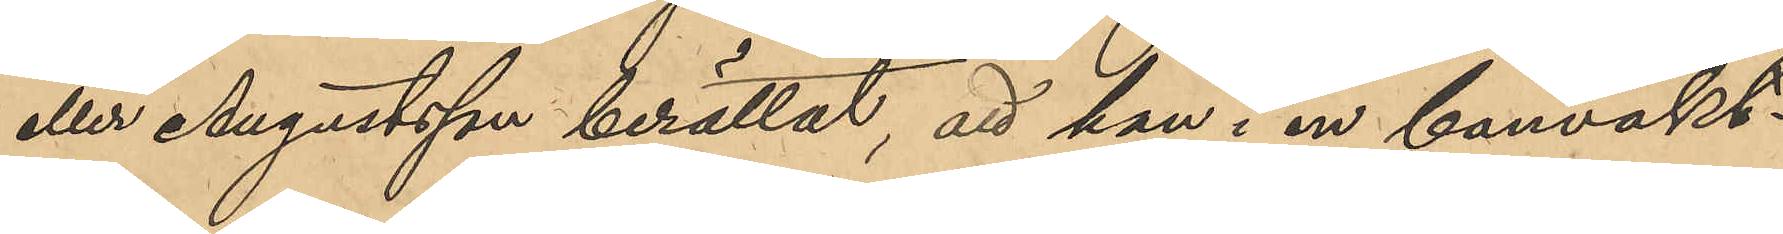eller Augustsson berättat, att han i en banvaktsstuga
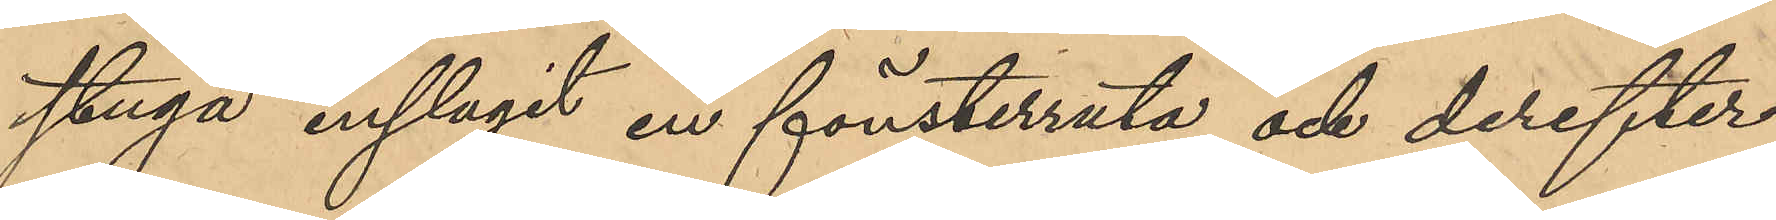inslagit en fönsterruta och derefter
